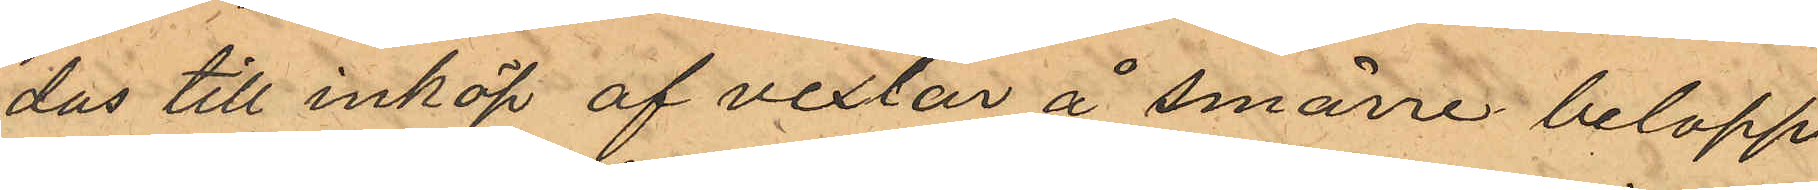das till inköp af vexlar å smärre belopp
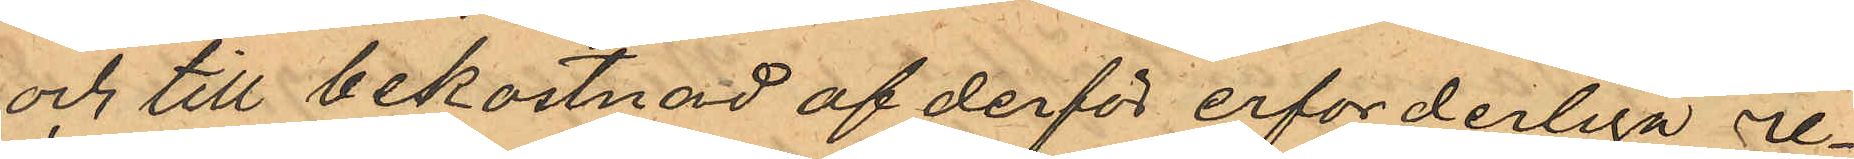och till bekostnad af derför erforderliga re¬
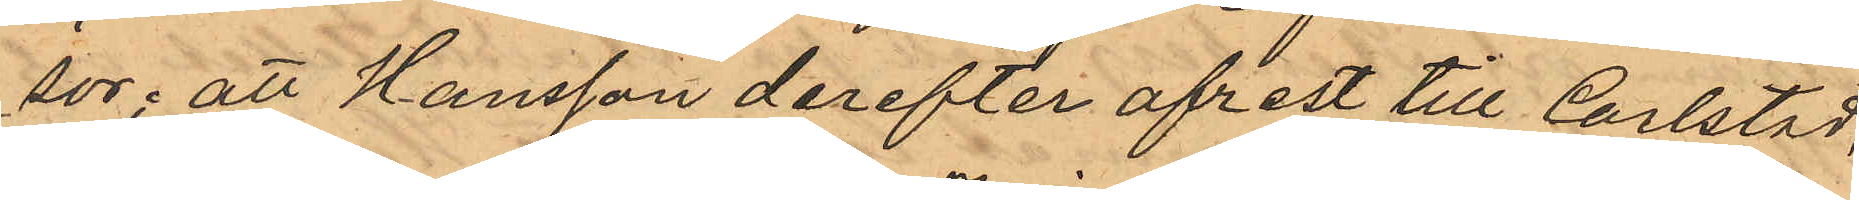sor; att Hansson derefter afrest till Carlstad,
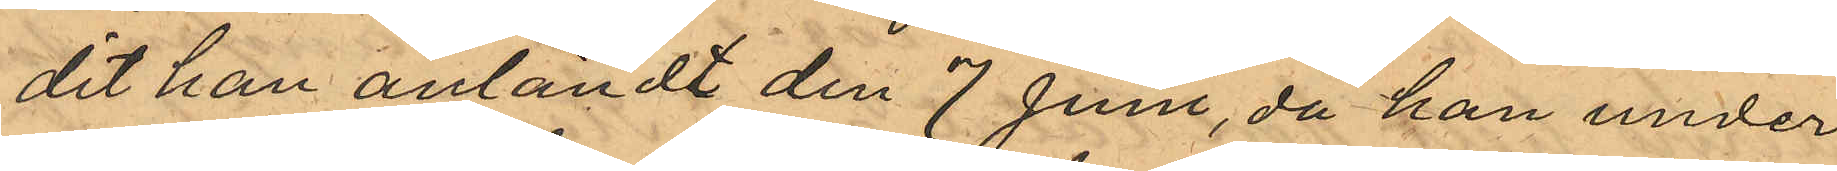dit han anländt den 7 Juni, då han under
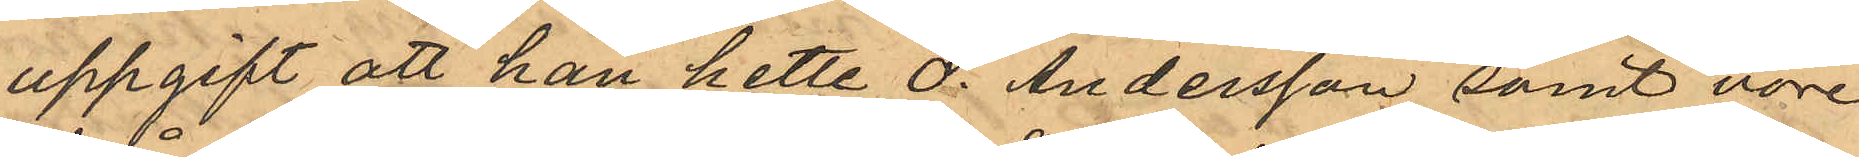uppgift att han hette O. Andersson samt vore
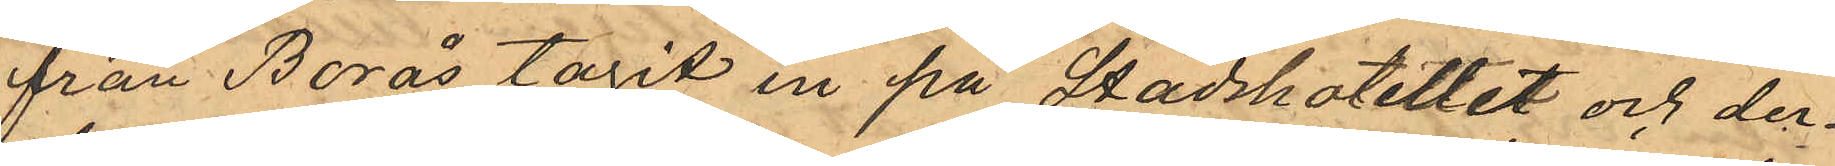från Borås tagit in på Stadshotellet och der¬
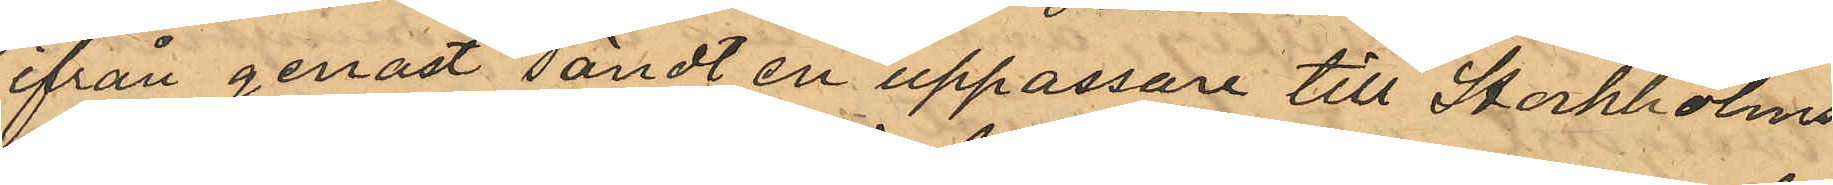ifrån genast sändt en uppassare till Stockholms
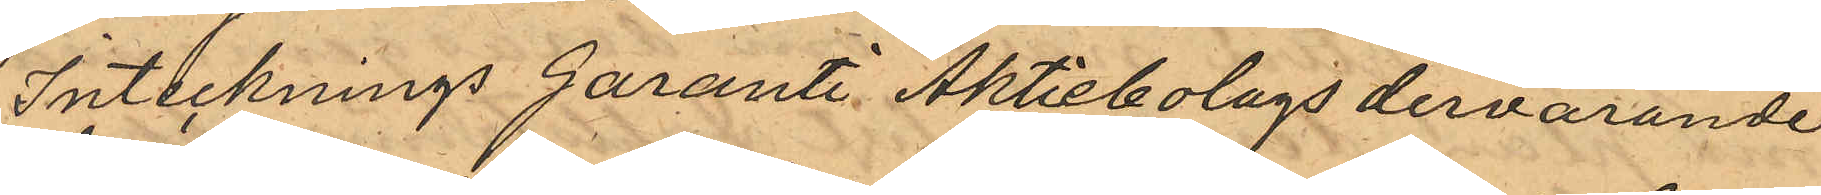Intecknings Garanti Aktiebolags dervarande
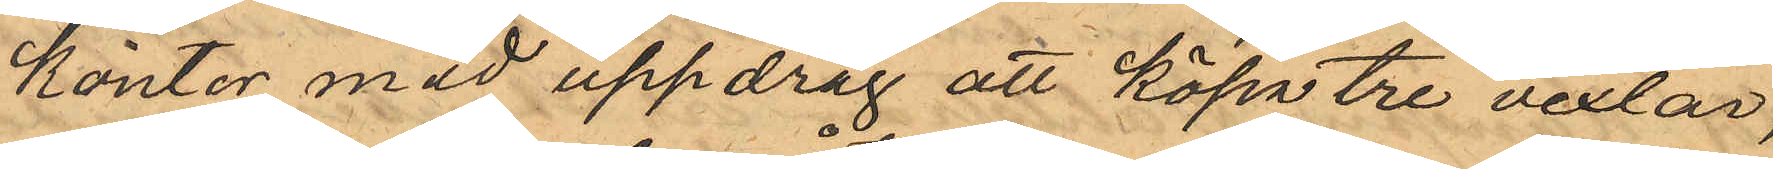kontor med uppdrag att köpa tre vexlar;
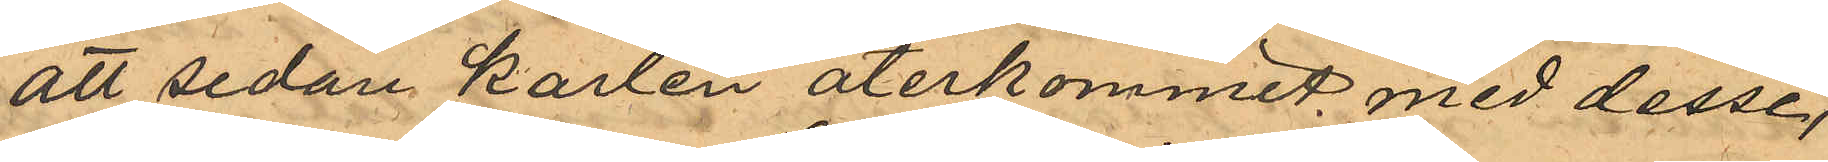att sedan karlen återkommit med desse,
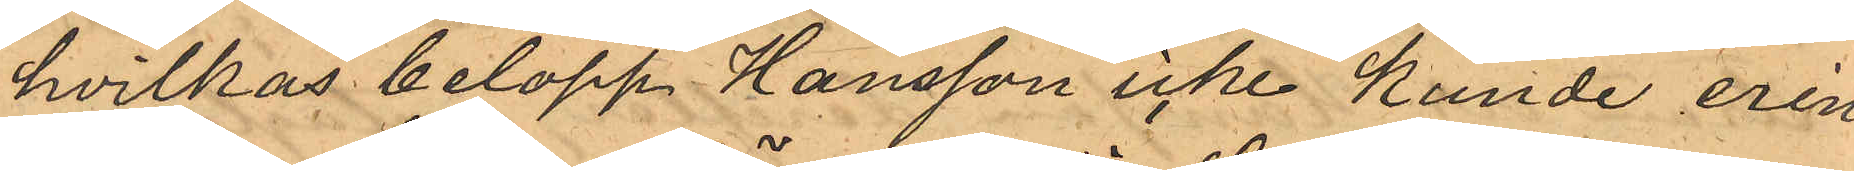hvilkas belopp Hansson icke kunde erin¬
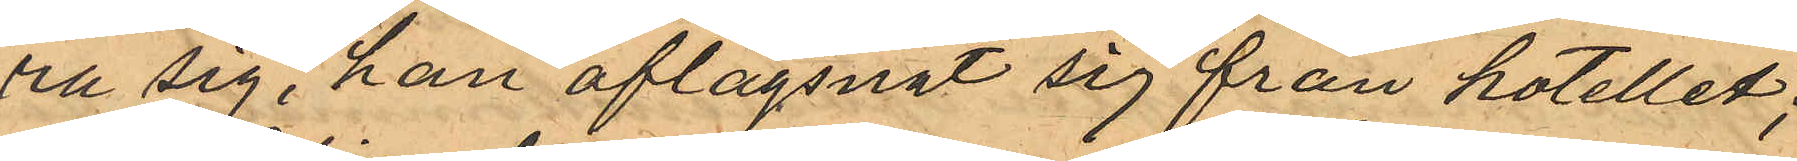ra sig, han aflägsnat sig från hotellet;
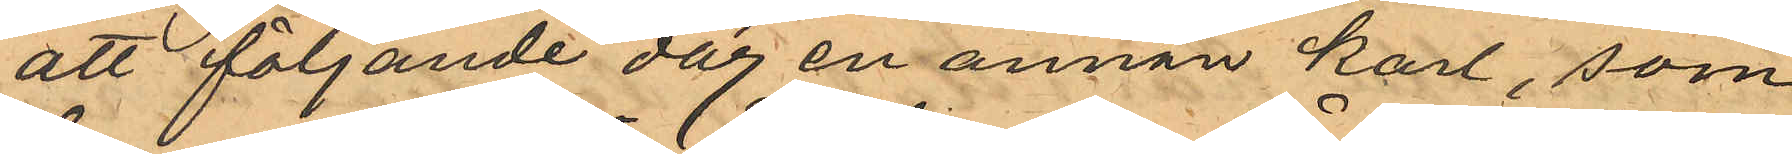att följande dag en annan karl, som
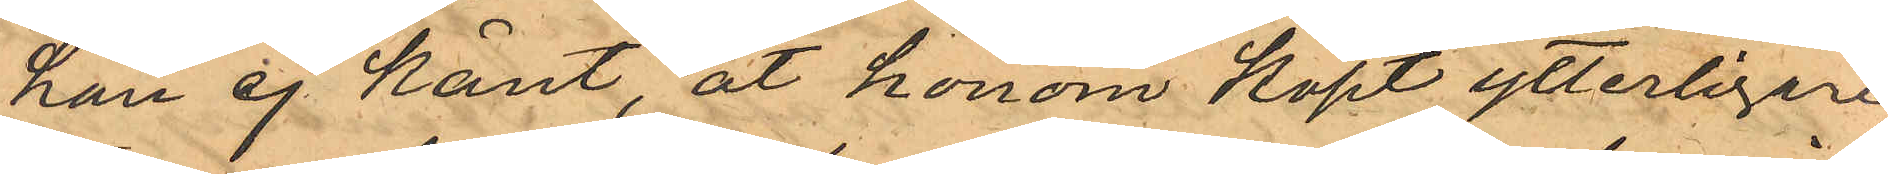han ej känt, åt honom köpt ytterligare
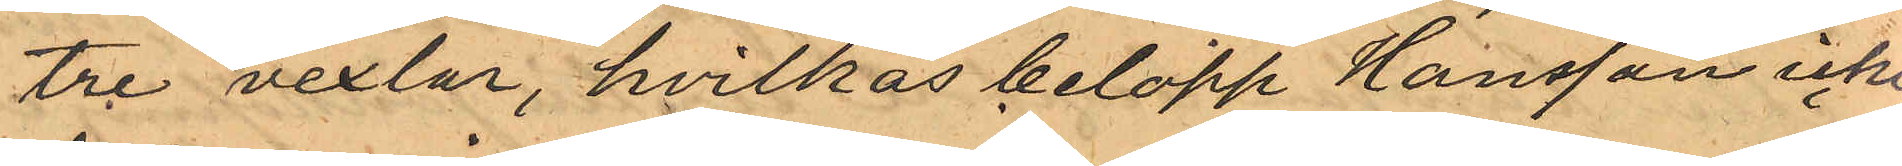tre vexlar, hvilkas belopp Hansson icke
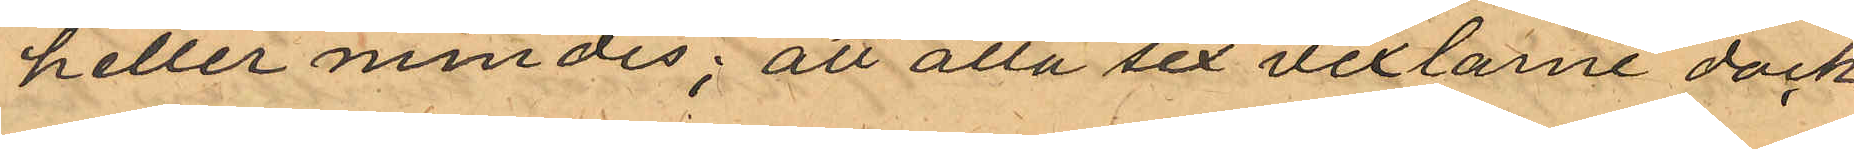heller mindes; att alla sex vexlarne dock
